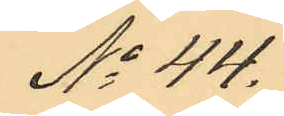No 44.
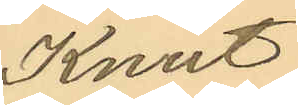Knut
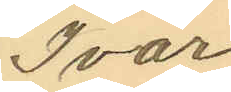Ivar
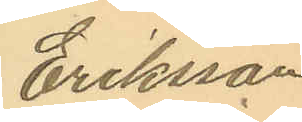Eriksson
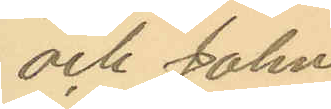och John
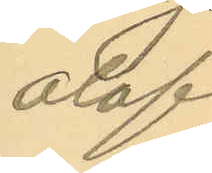Olof
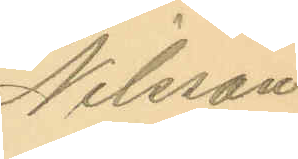Nilsson
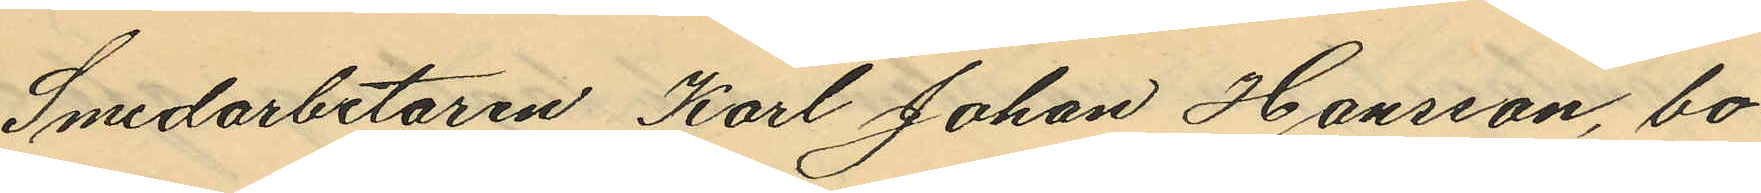Smedarbetaren Karl Johan Hansson, bo¬
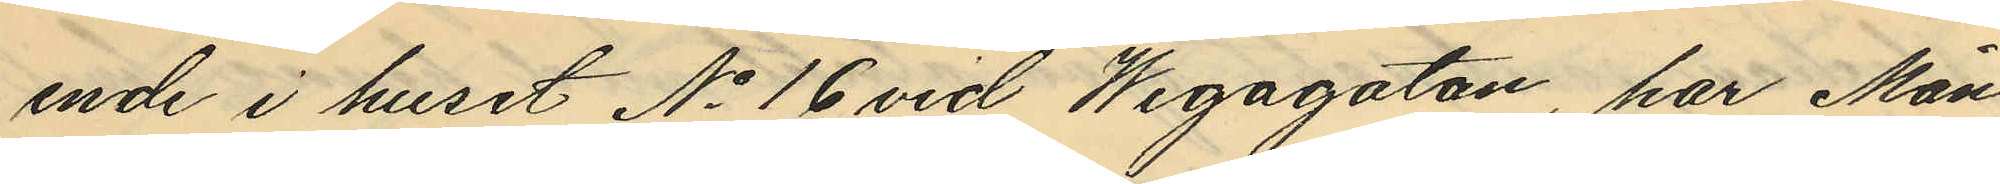ende i huset No 16 vid Wegagatan, har Mån¬
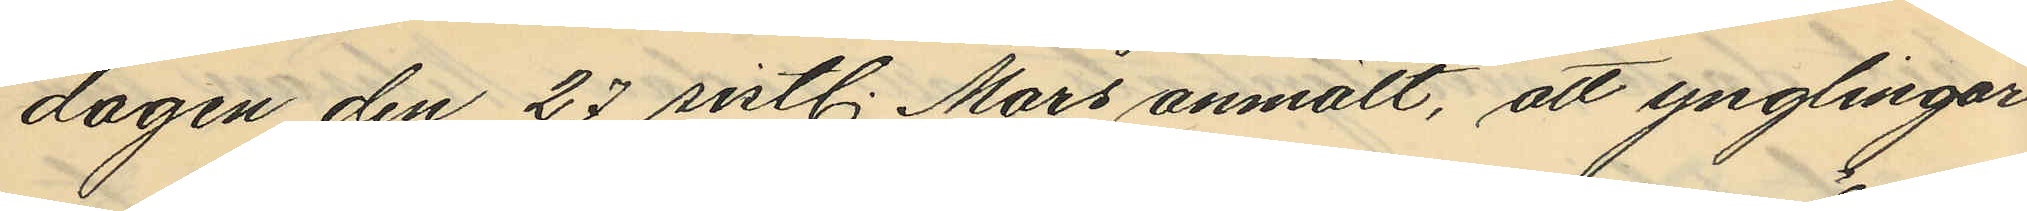dagen den 27 sistl. Mars anmält, att ynglingar
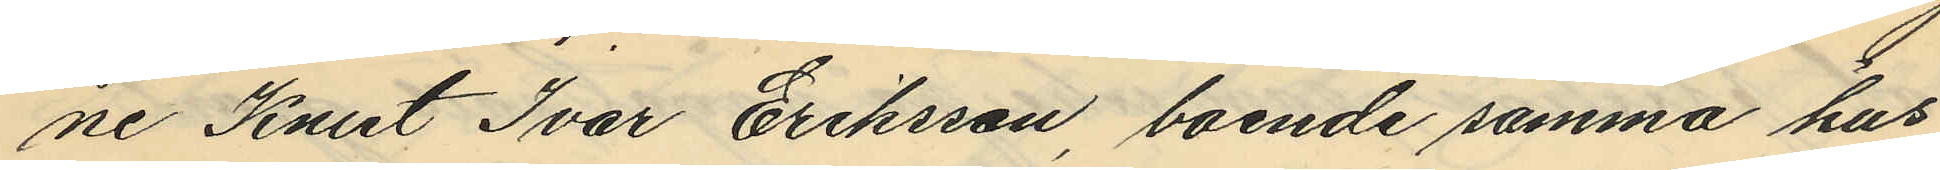ne Knut Ivar Eriksson boende samma hus
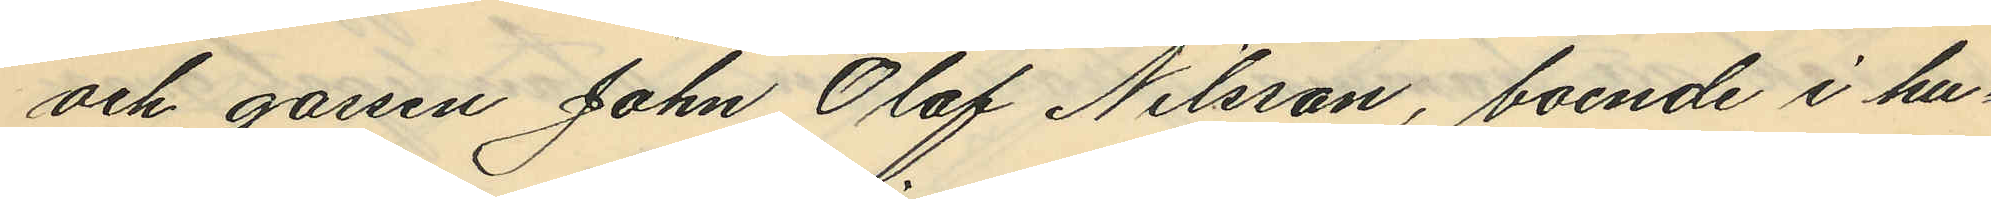och gossen John Olof Nilsson, boende i hu¬
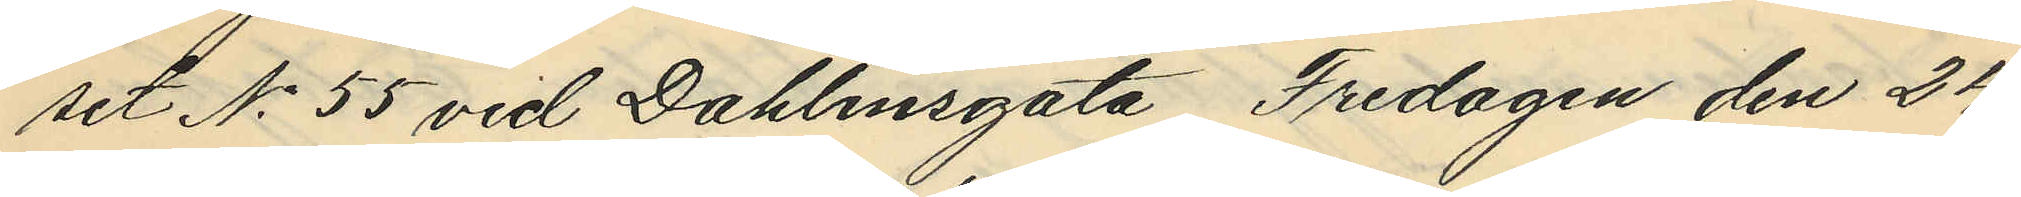set No 55 vid Dahlinsgata, Fredagen den 24
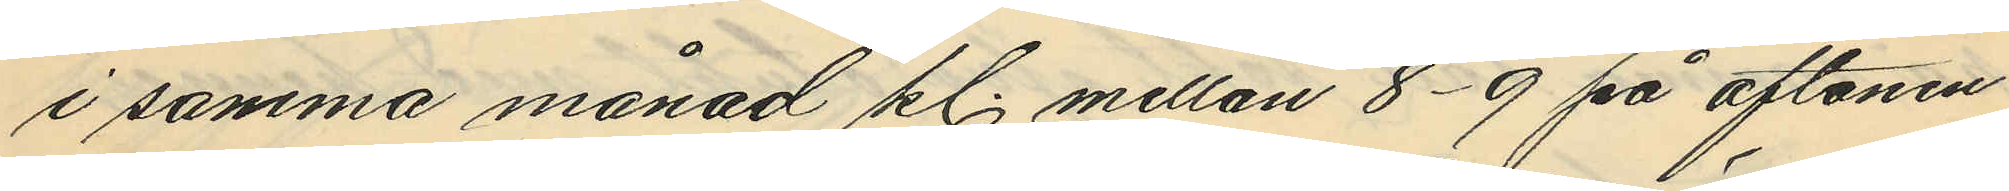i samma månad kl. mellan 8-9 på aftonen
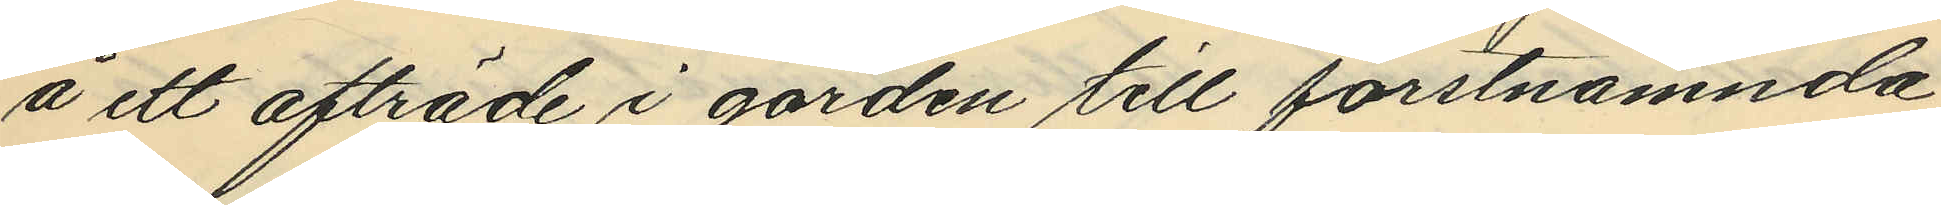å ett afträde i gården till förstnämnda
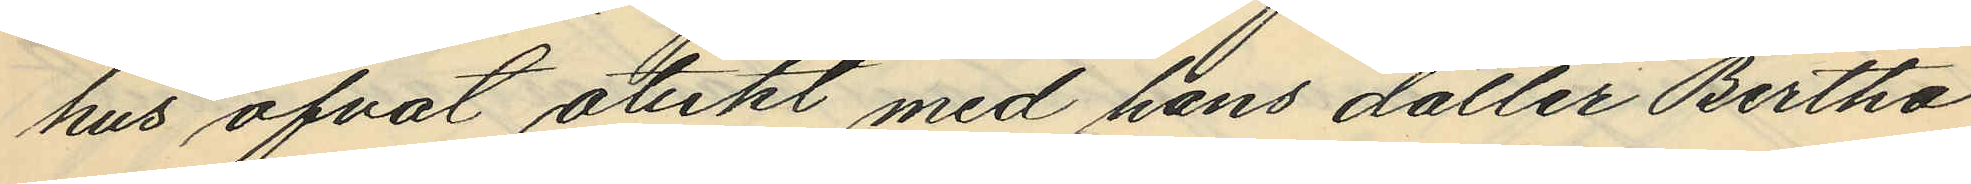hus öfvat otukt med hans dotter Bertha
